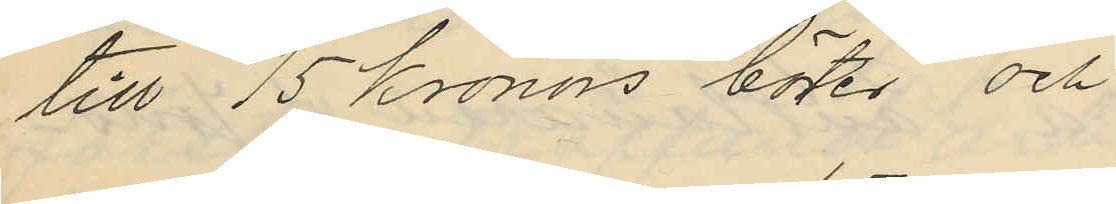till 15 Kronors böter och
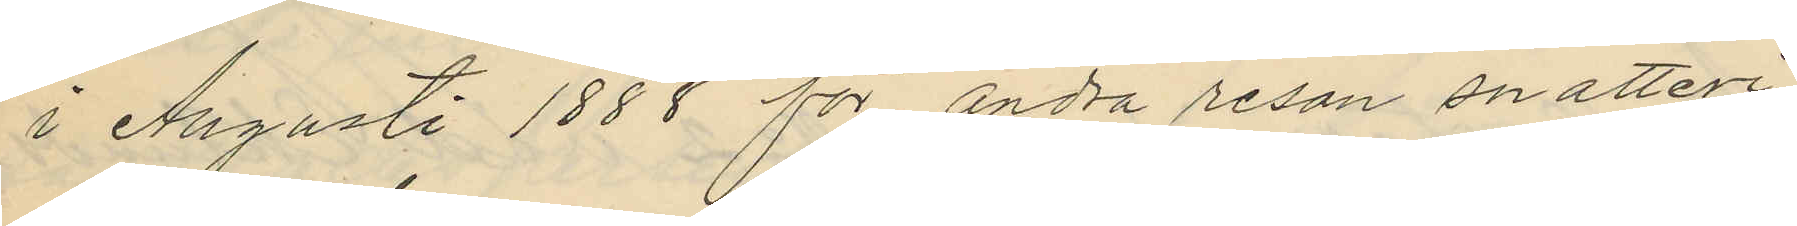i Augusti 1888 för andra resan snatteri
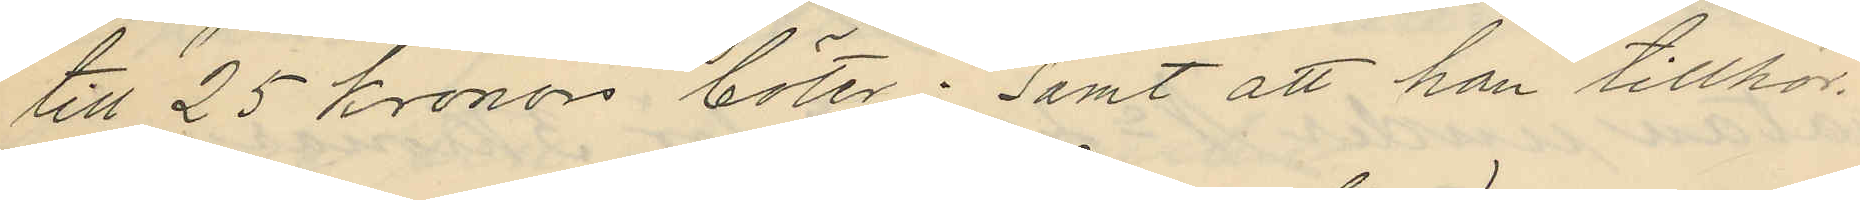till 25 kronors böter; samt att han tillhör
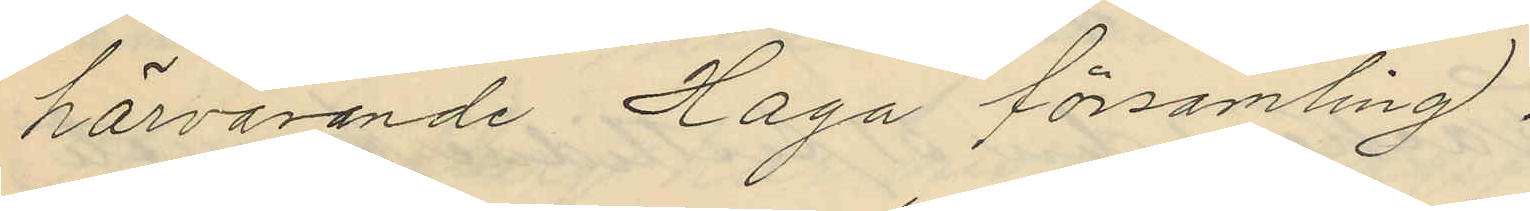härvarande Haga församling.
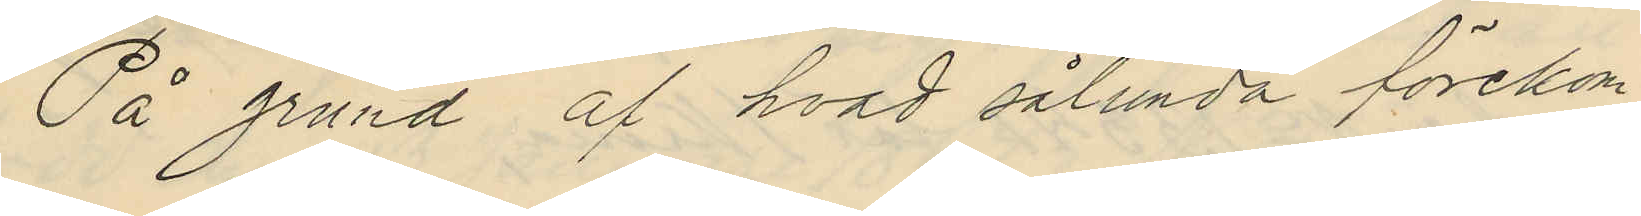På grund af hvad sålunda förekom¬
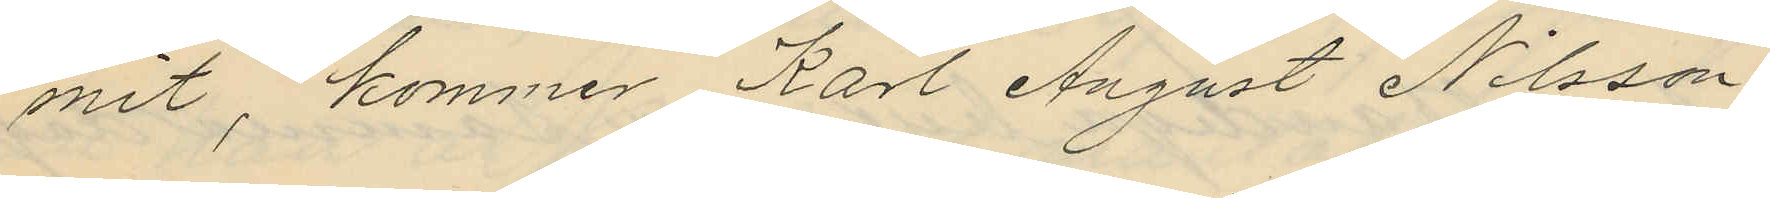mit, kommer Karl August Nilsson
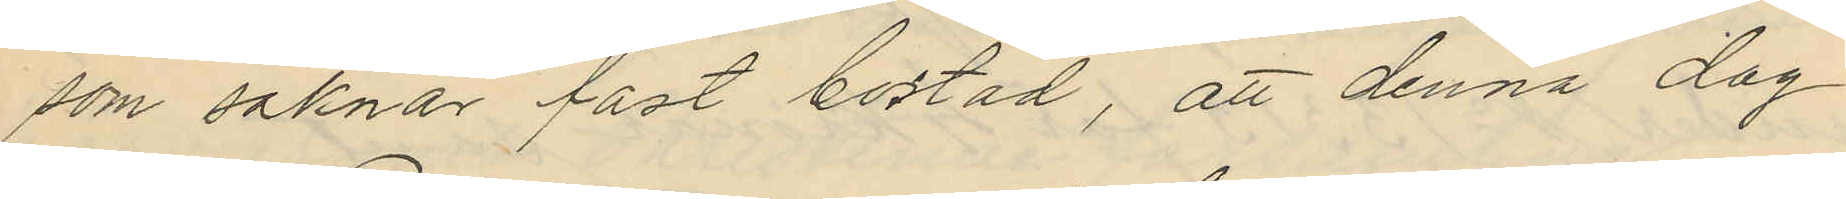som saknar fast bostad, att denna dag
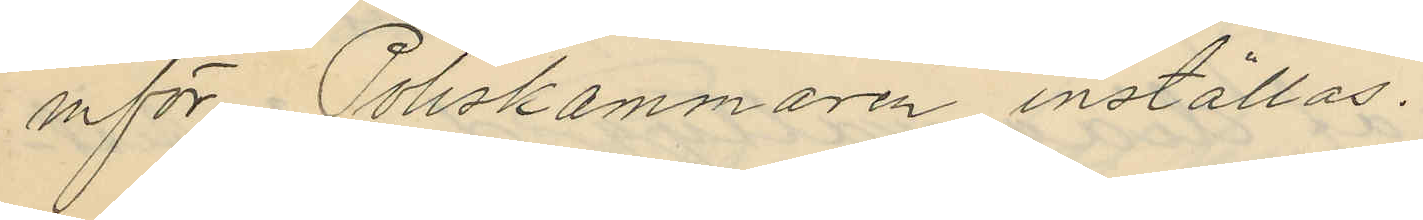inför Poliskammaren inställas.
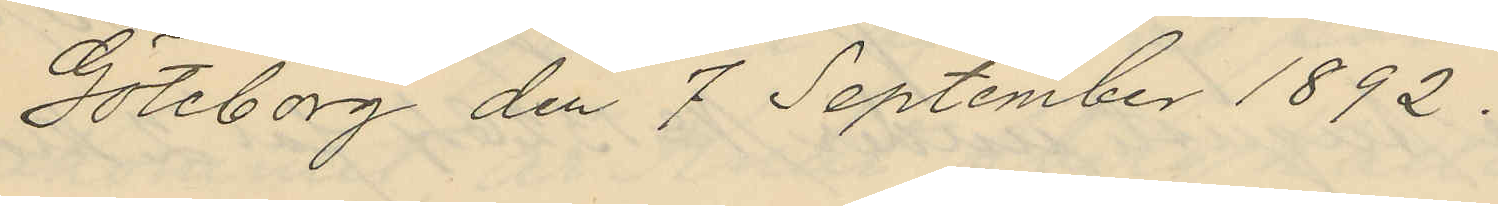Göteborg den 7 September 1892.
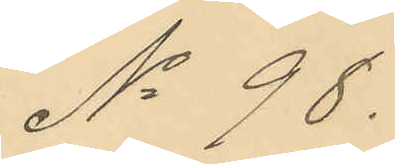No 98.
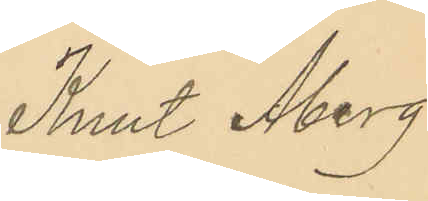Knut Åberg
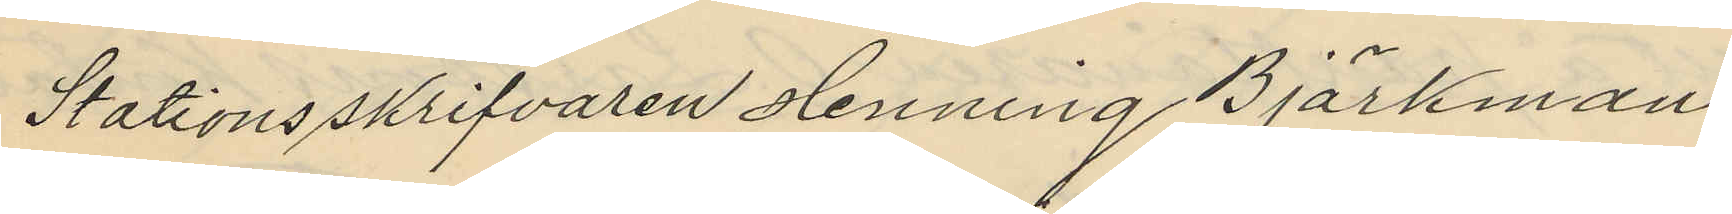Stationsskrifvaren Henning Björkman
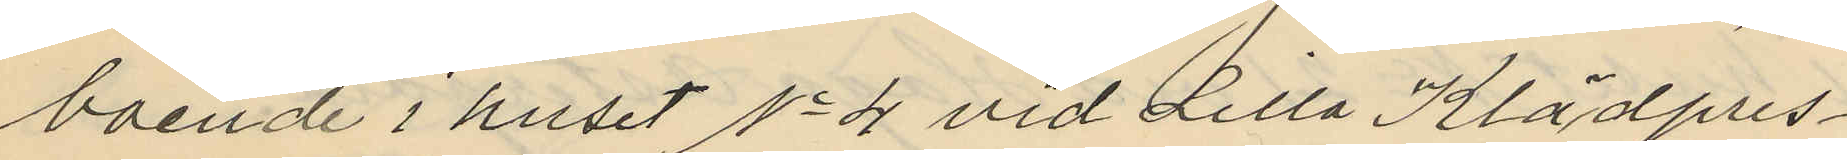boende i huset No 4 vid Lilla Klädpres¬
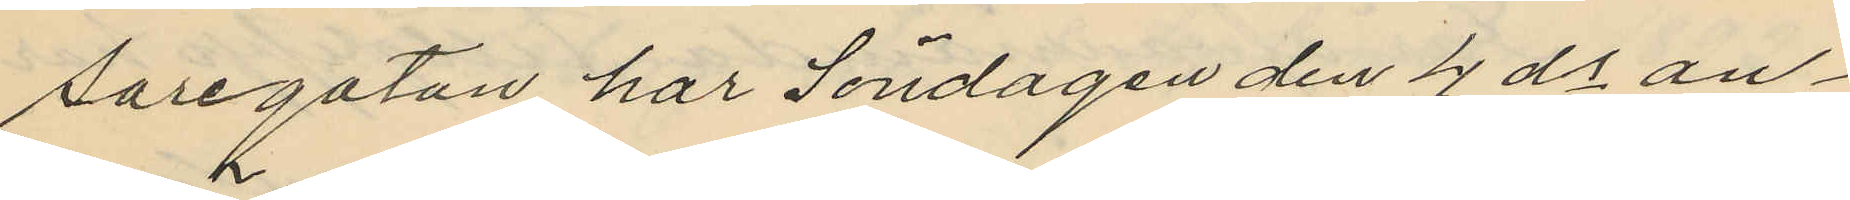saregatan har Söndagen den 4 ds an¬
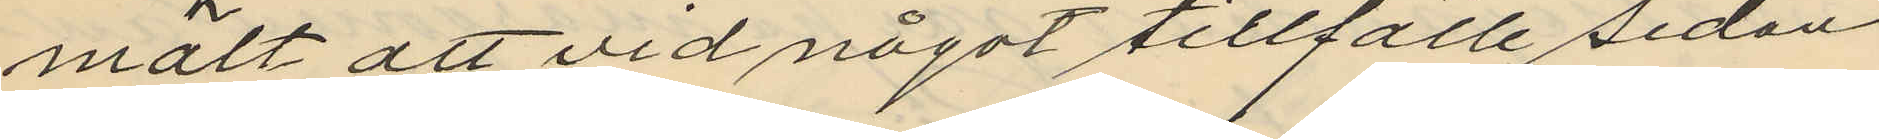mält att vid något tillfälle sedan
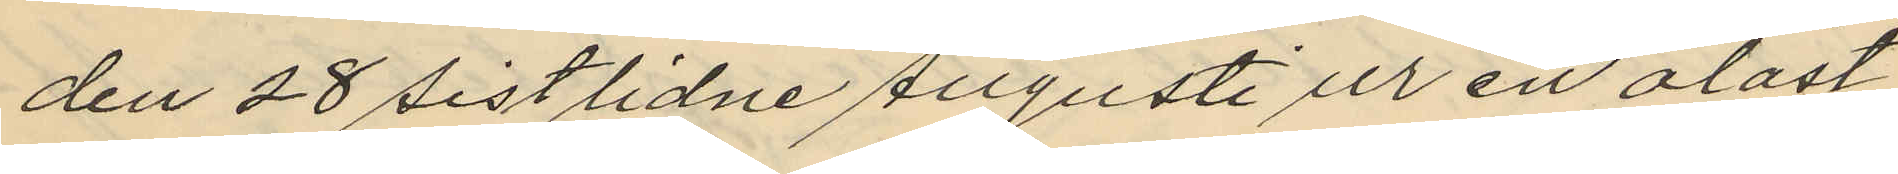den 28 sistlidne Augusti ur en olåst
